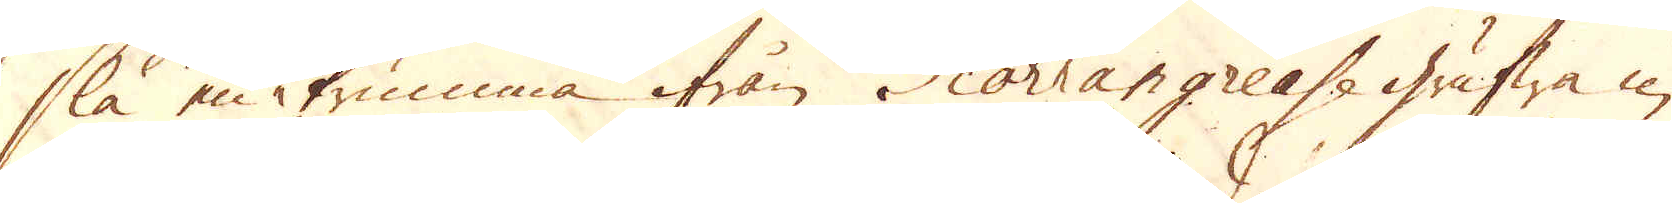slå en trumma ifrån Scorrangreass grufwa in
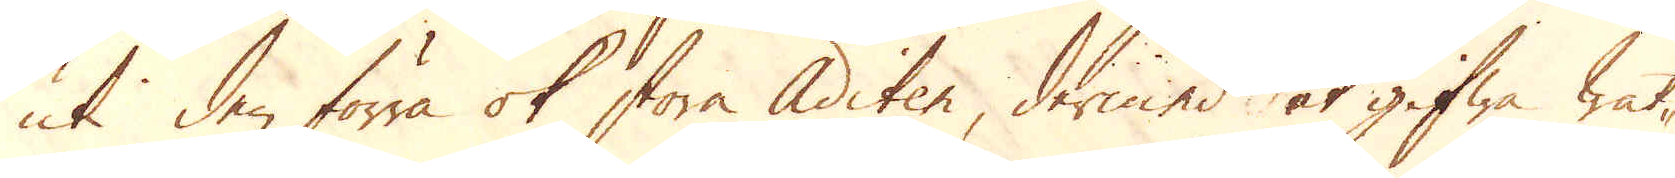uti den förra ok stora Aditen, dermed at gifwa wat-
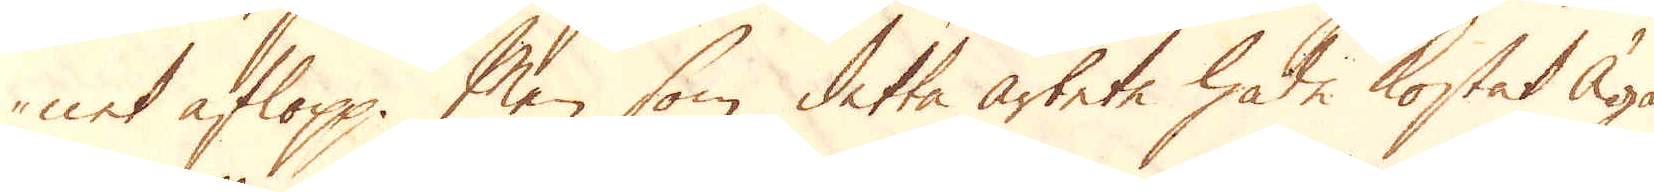net aflopp. Men som detta arbete hade kostat Ägar-
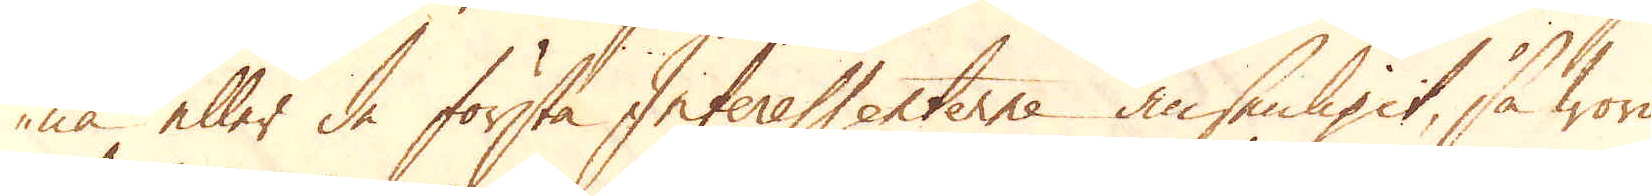na eller de första Interessenterne ansenligit, så woro
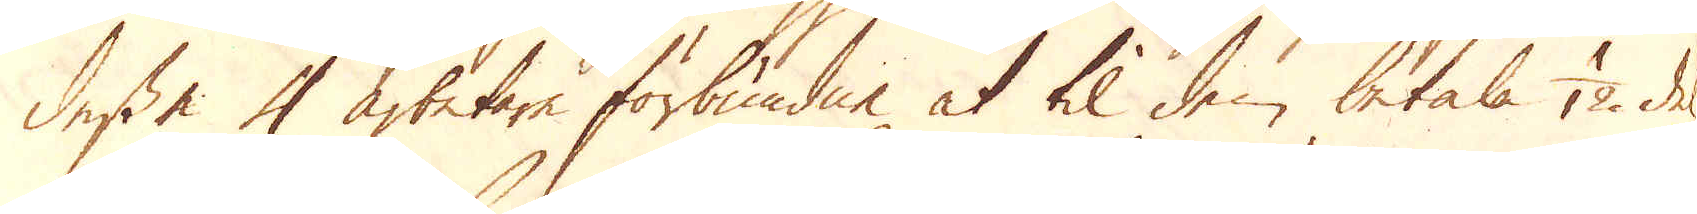dessa 4 arbetare förbundne at til den betala 1/12 del
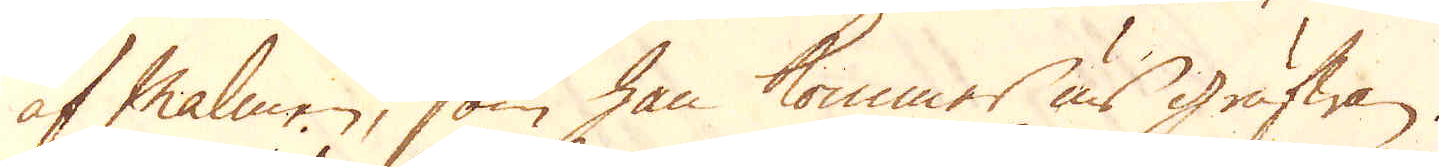af Malmen, som han kommer ur grufwan.
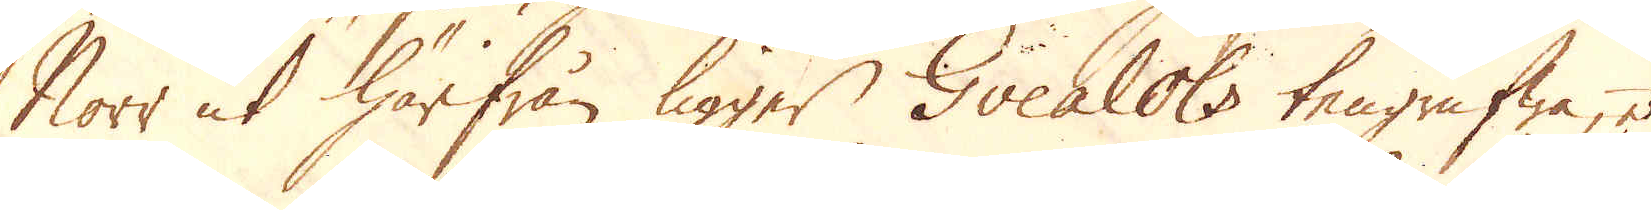Norr ut härifrån ligger Gvealols tengrufwa, et
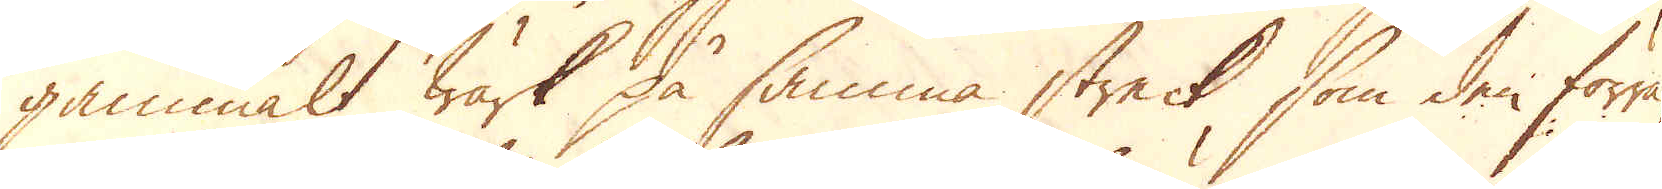gammalt Wärk på samma streck, som den förra,
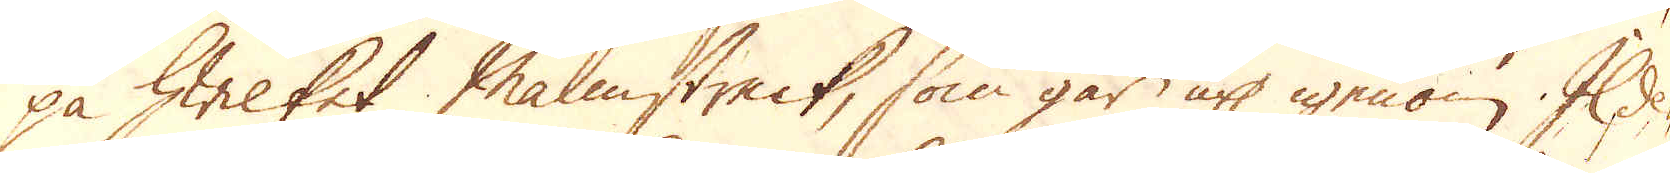på hwilket Malmstreck, som går up igenom Ilde-
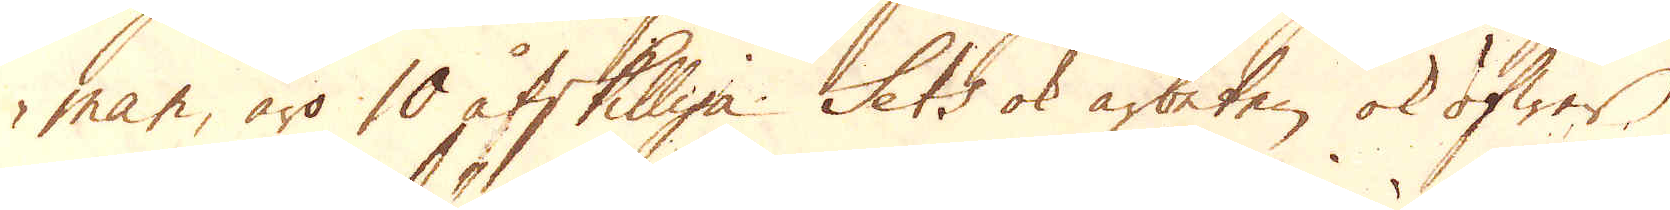man, äro 10 åtskilliga Sets ok arbeten, ok öfwer
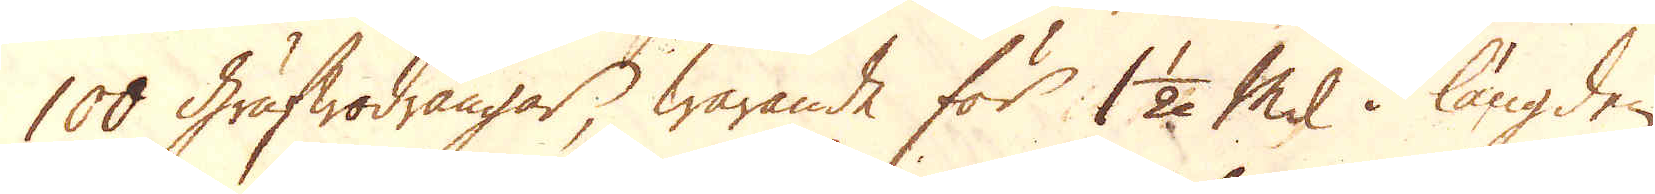100 Grufwodrängar, warande för 1 1/2 Mil i längden
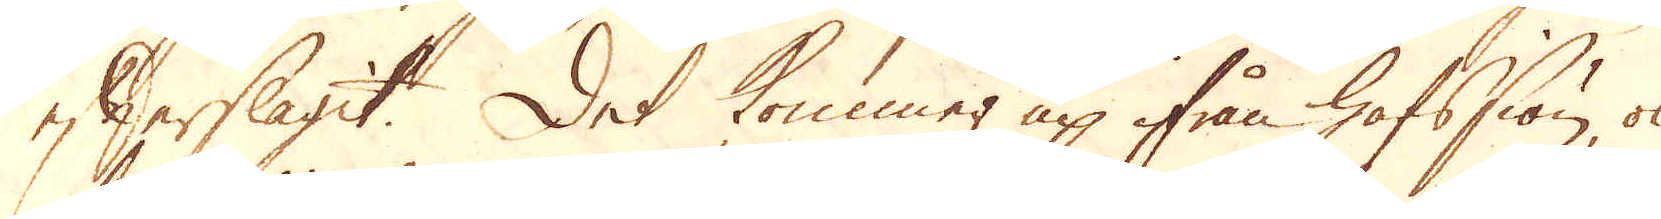efterslagit. Det kommer up ifrån hafssiön, ok
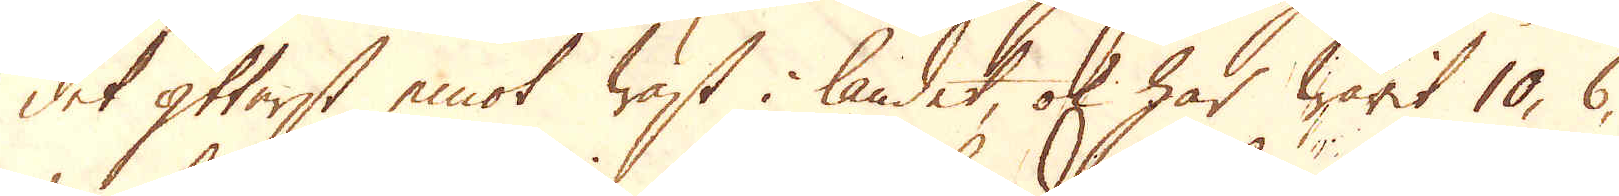det ytterst emot wäst i landet, ok har warit 10, 6,
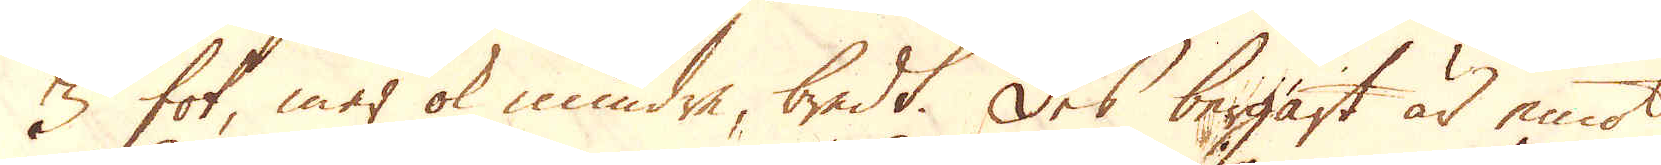3 fot mer ok mindre, bredt. Des bergart är emot
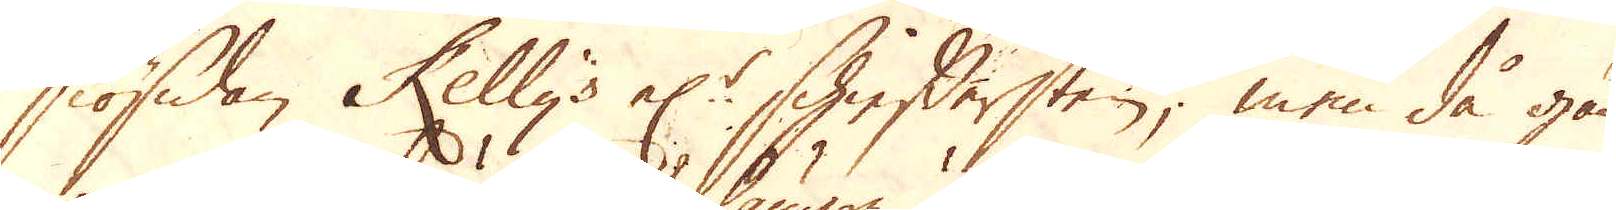siösidan Kelly's el:r Shieffersten, men då gån-
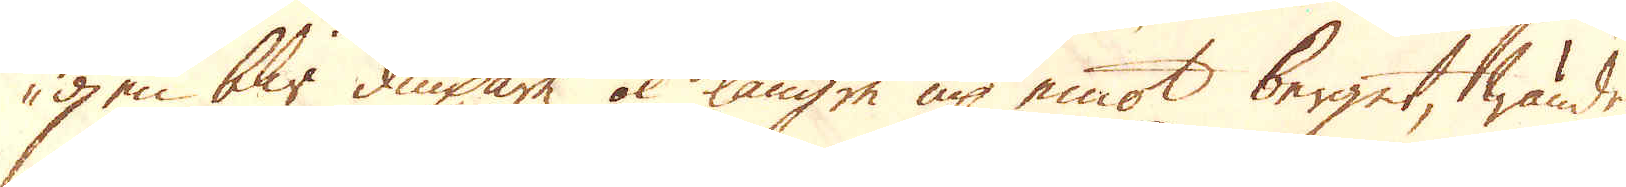gen blir diupare ok längre up emot berget, wändes
